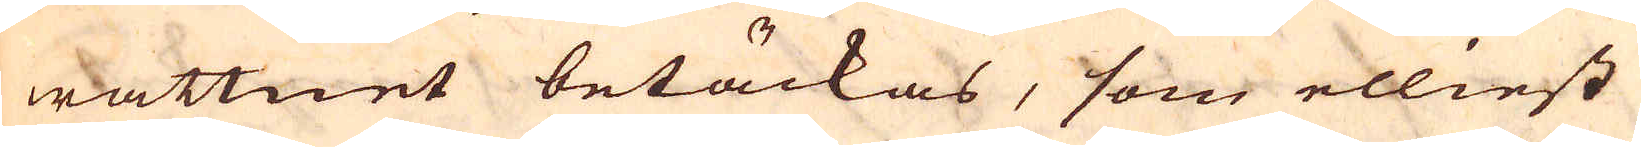wattnet betäckas, som elliest
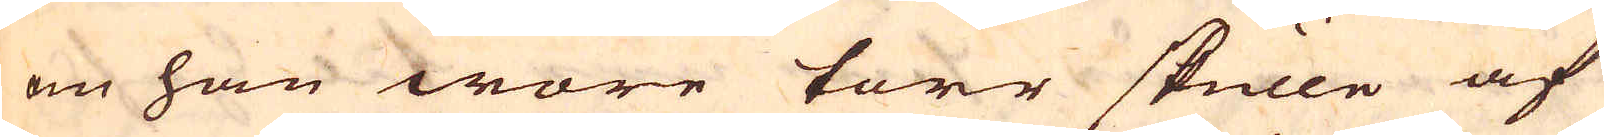om han wore torr skulle af
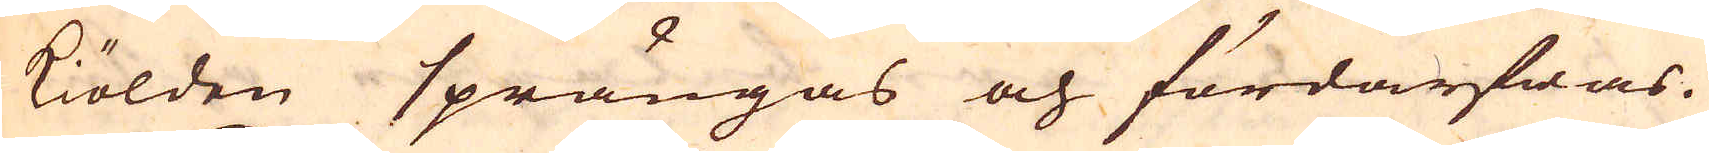kiölden sprängas och fördärfwas.
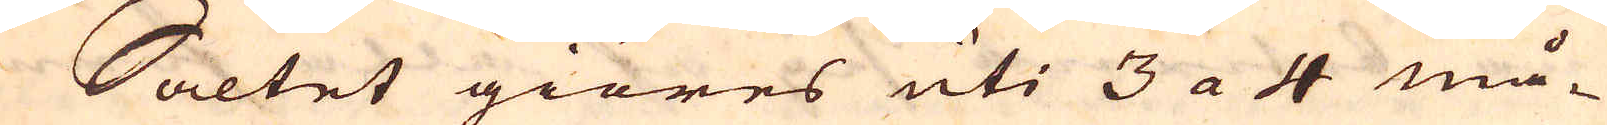Saltet giöres uti 3 a 4 må-
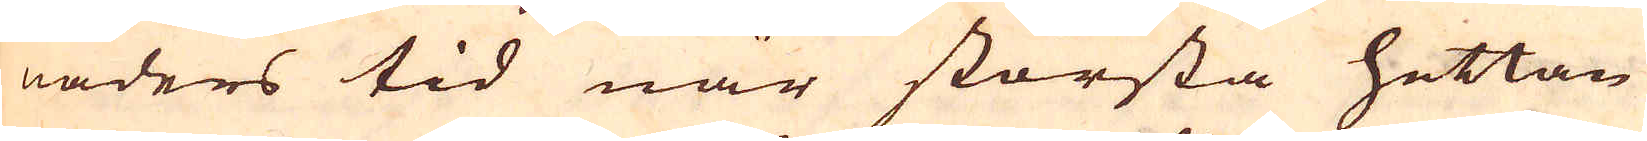naders tid när största hettan
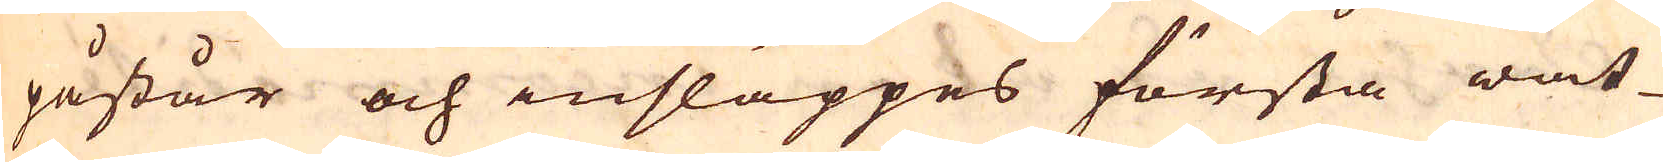påstår och insläppes första wat-
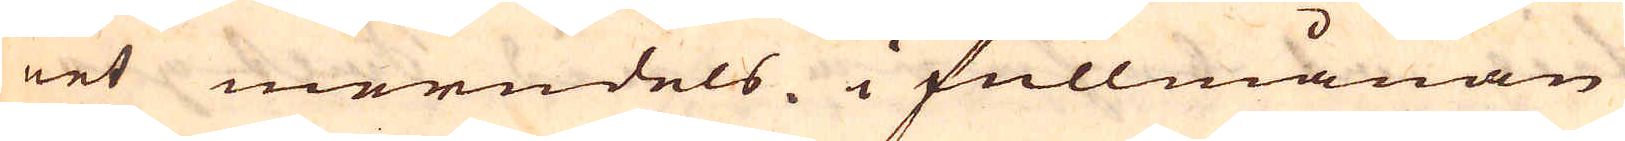net merndels i fullmånan
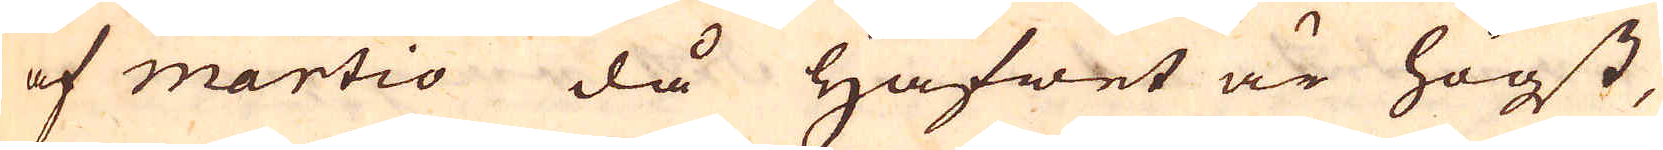af martio då hafwet är högst,
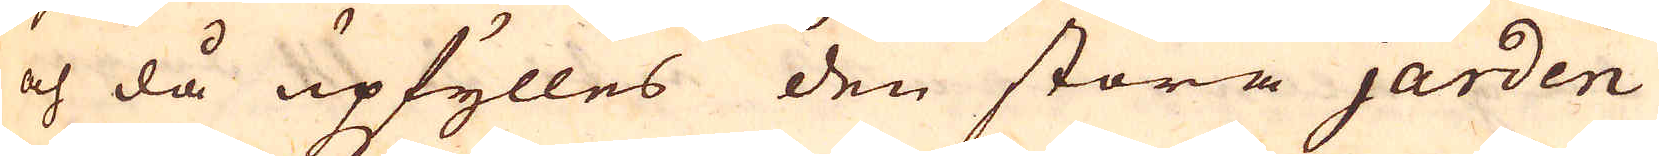och då upfylles den stora jarden
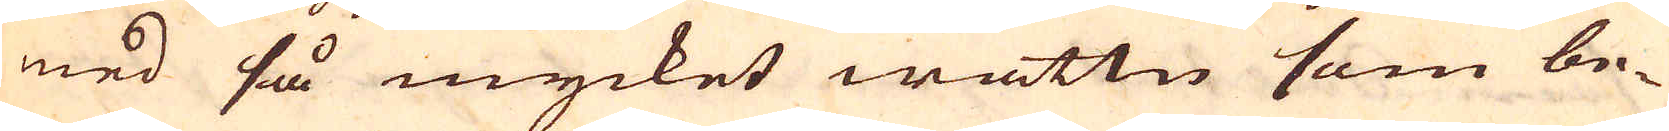med så mycket wattn som be-
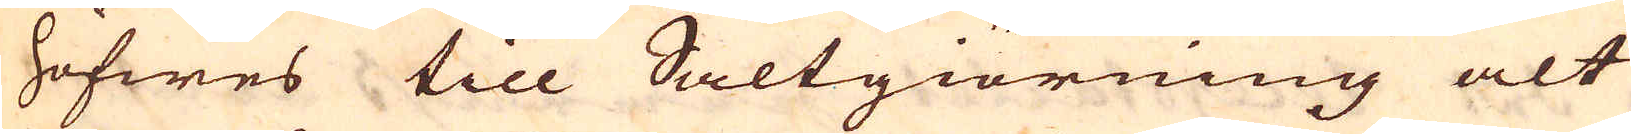höfwes till Saltgiörning alt
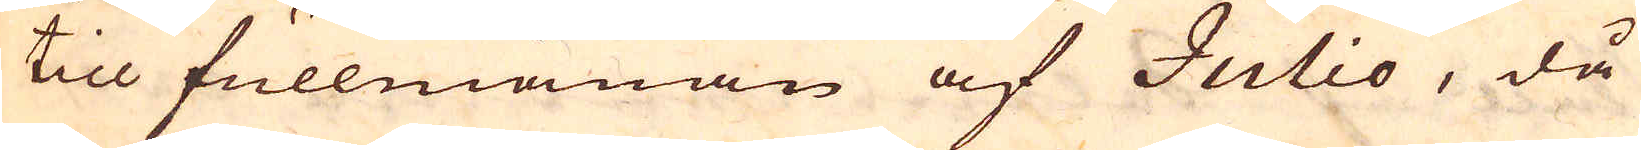till fullmånan af Julio, då
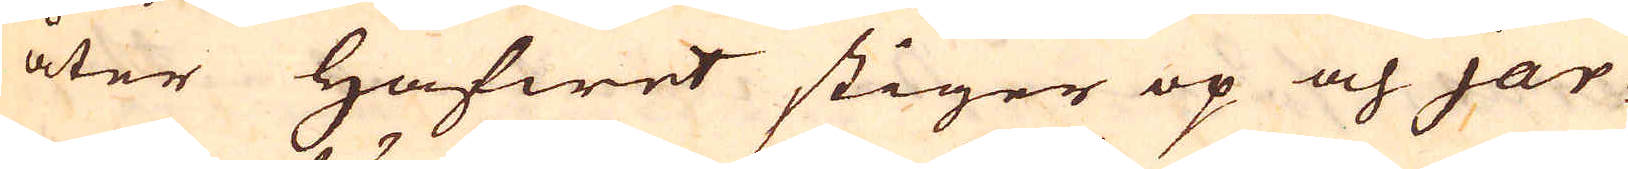åter hafwet stiger op och jar-
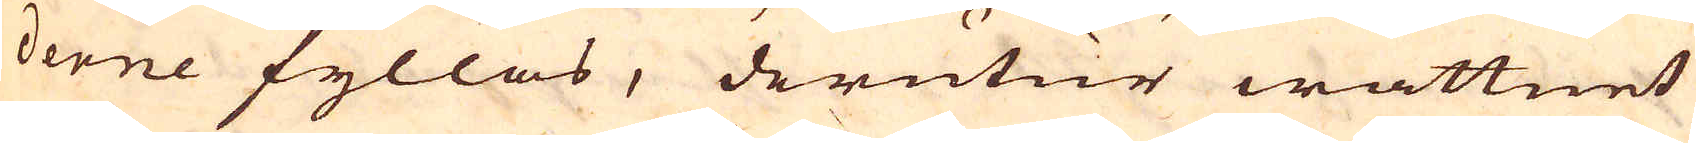derne fyllas, derutur wattnet
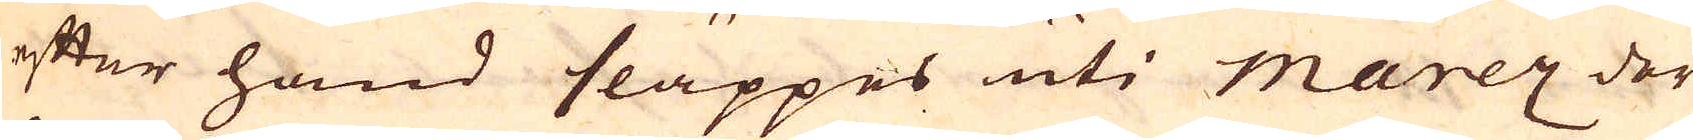efter hand släppes uti marez der
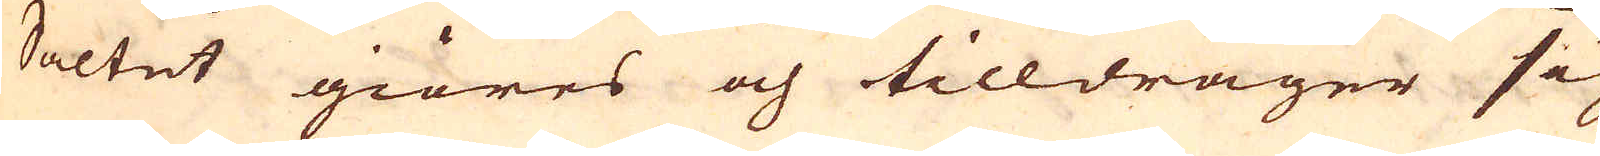Saltet giöres och tilldrager sig
